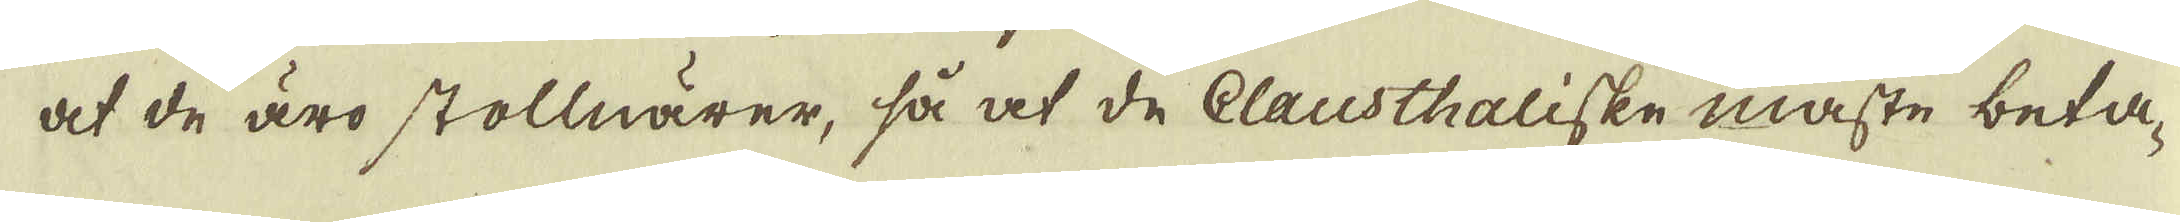at de äro stollnärer, så at de Clausthaliske måste beta-
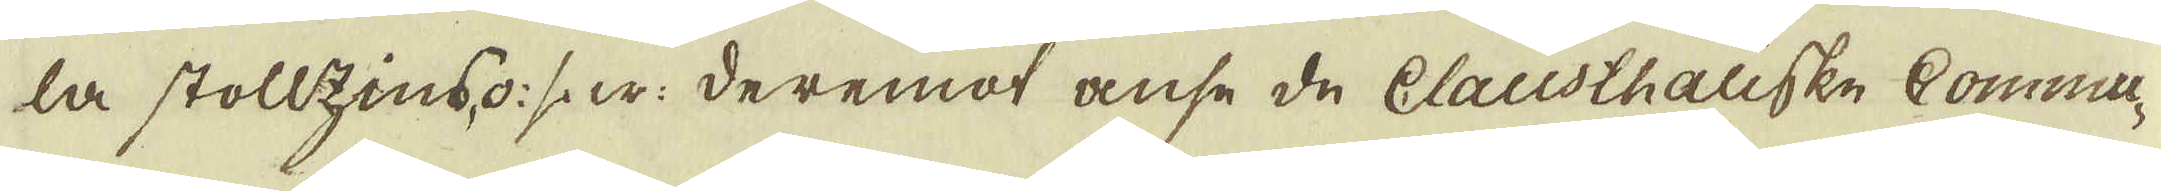la stollzins, o: s: w: deremot anse de Clausthaliske Commu-
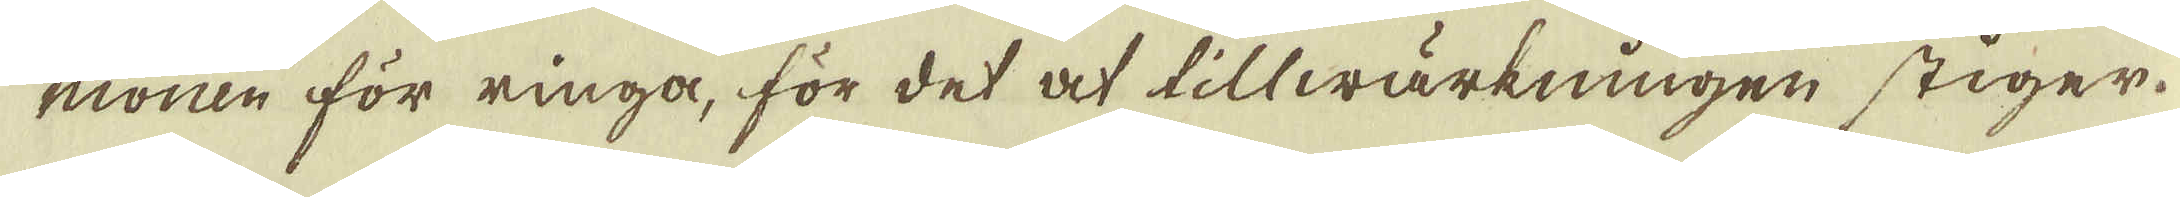nionen för ringa, för det at tillwärkningen stiger.
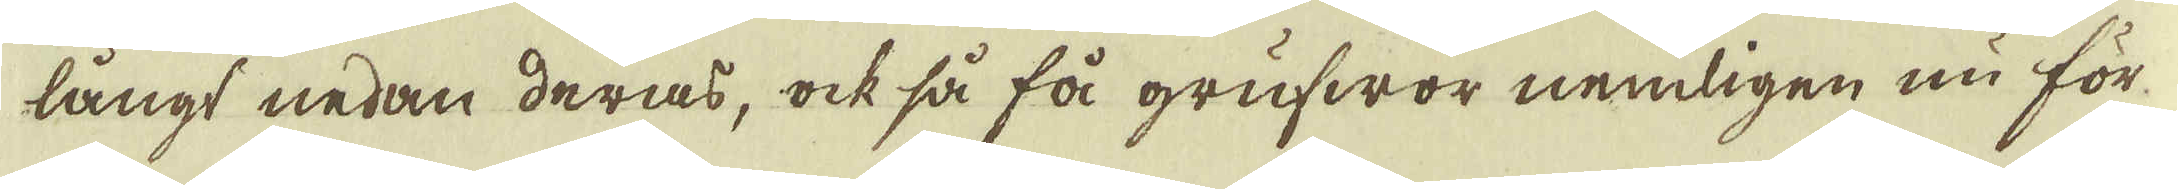långt nedan deras, ock så få grufwor nemligen nu för
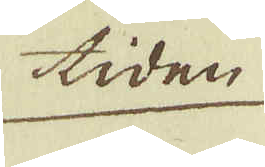tiden
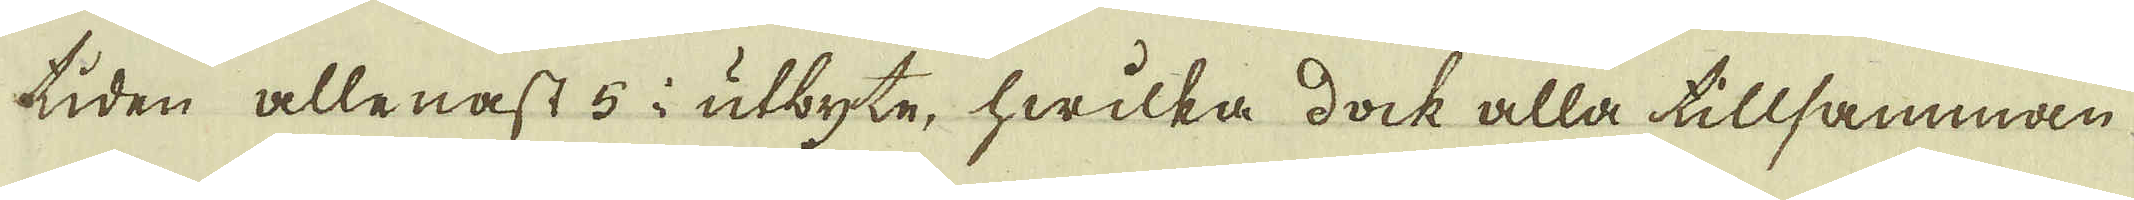tiden allenast 5 i utbyte, hwilka dock alla tillsamman
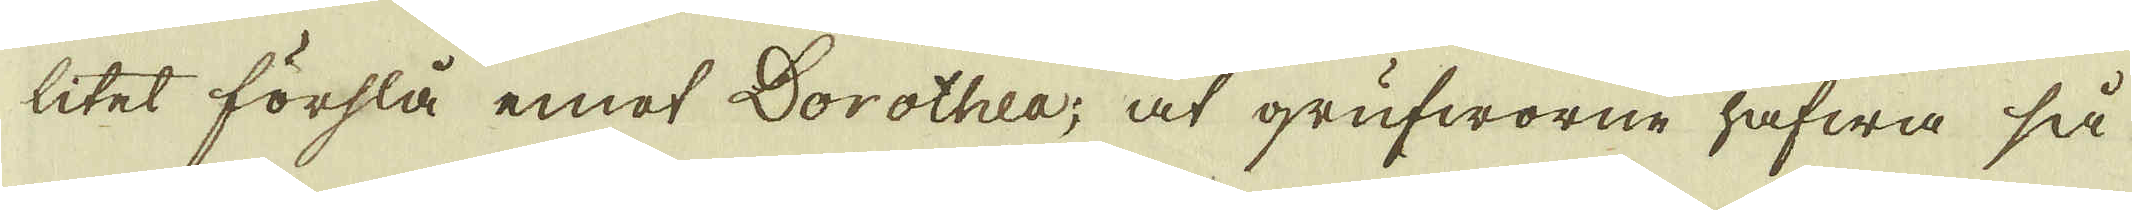litet förslå emot Dorothea; at grufworne hafwa så
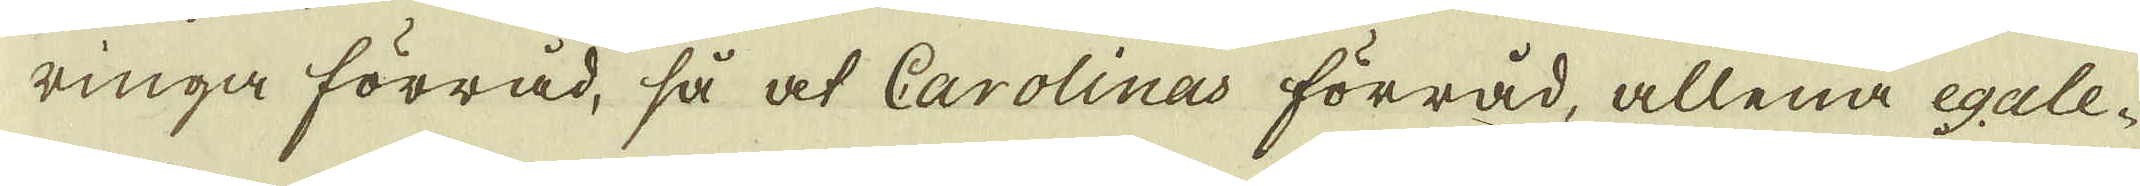ringa förråd, så at Carolinas förråd, allena egale-
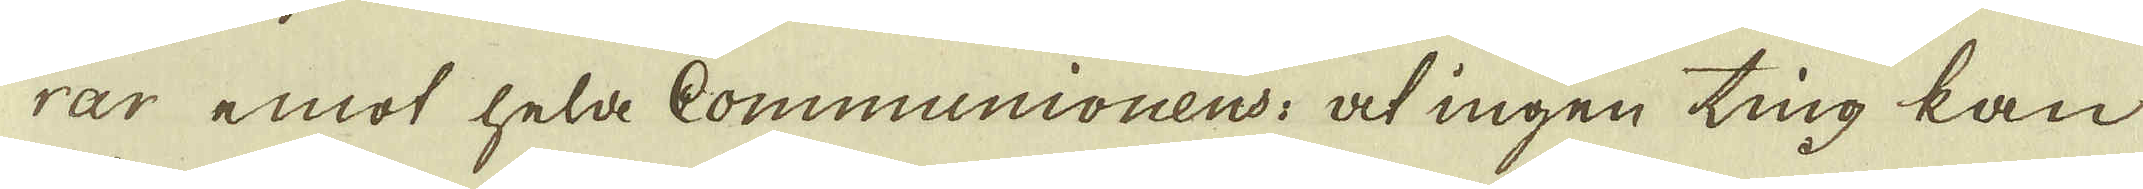rar emot held Communionens: at ingen ting kan
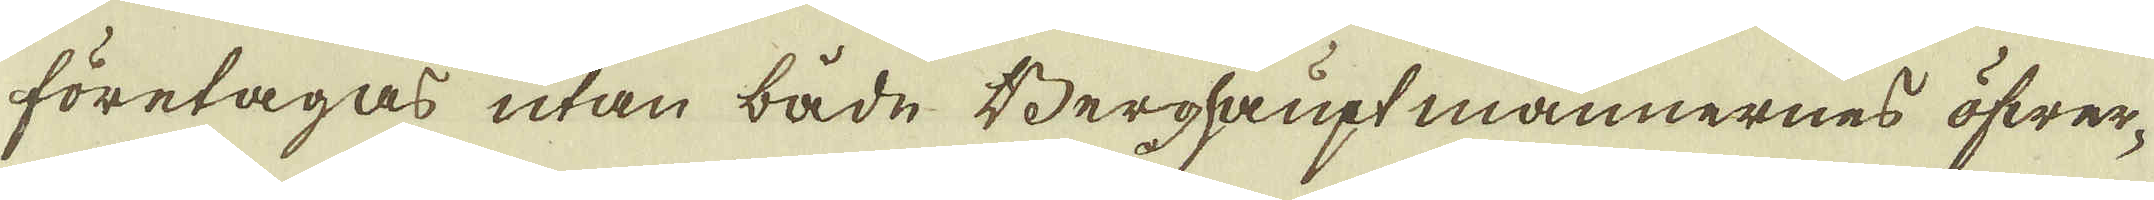företagas utan både Berghaupt männernes öfwer-
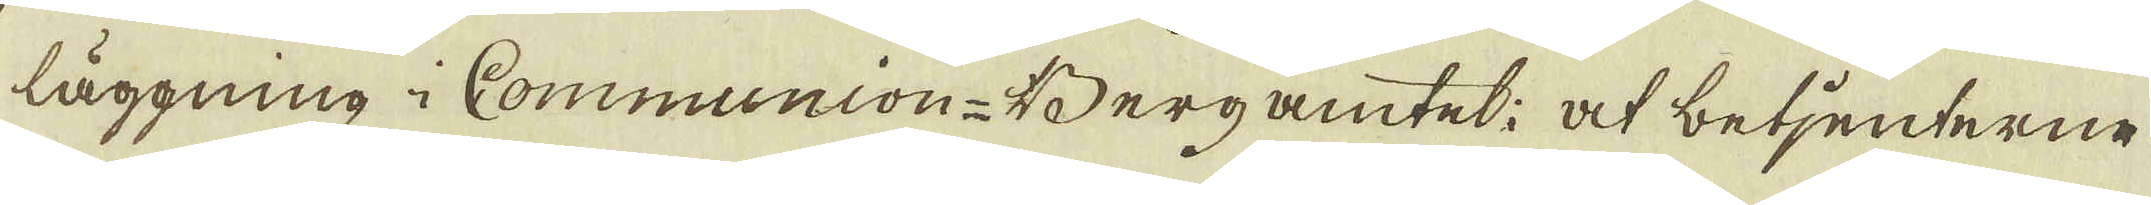läggning i Communion-Bergamtet: at betjenterne
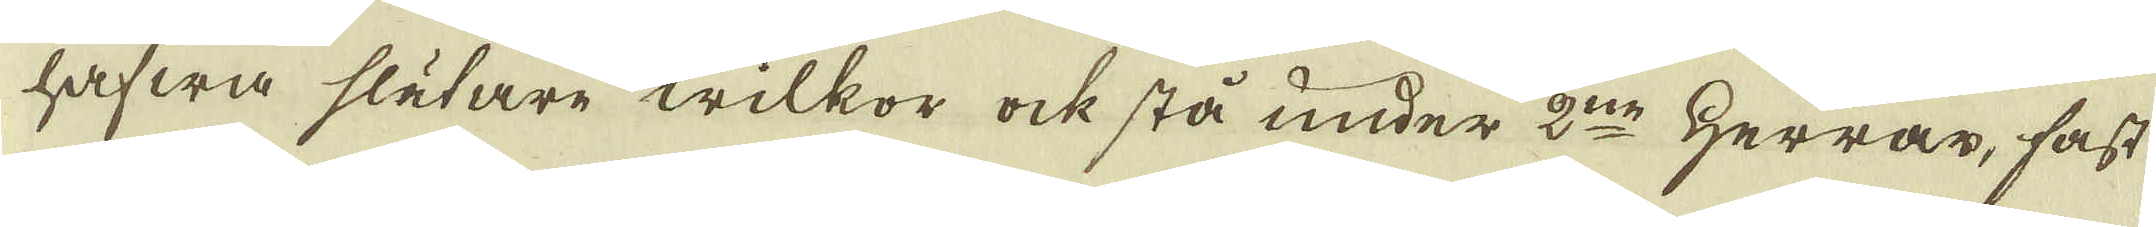hafwa slätare wilkor ock stå under 2:ne Herrar, fast
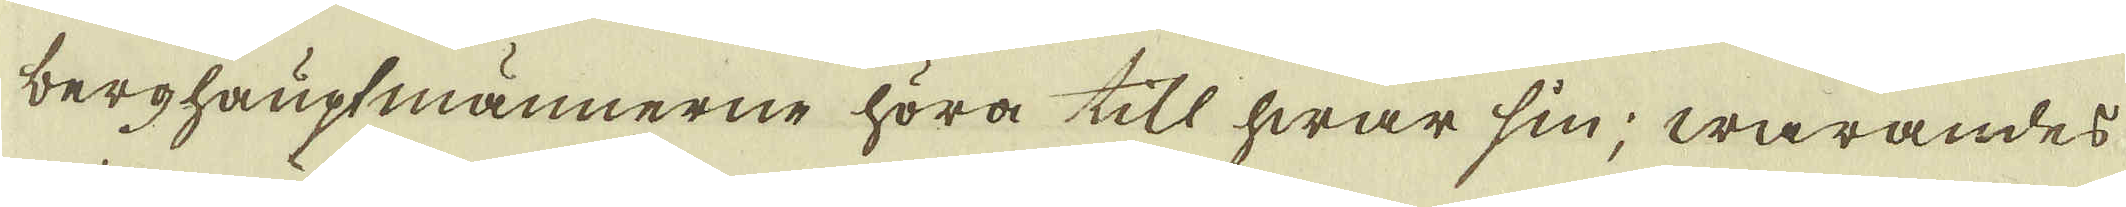berghauptmännerne höra till hwar sin; warandes
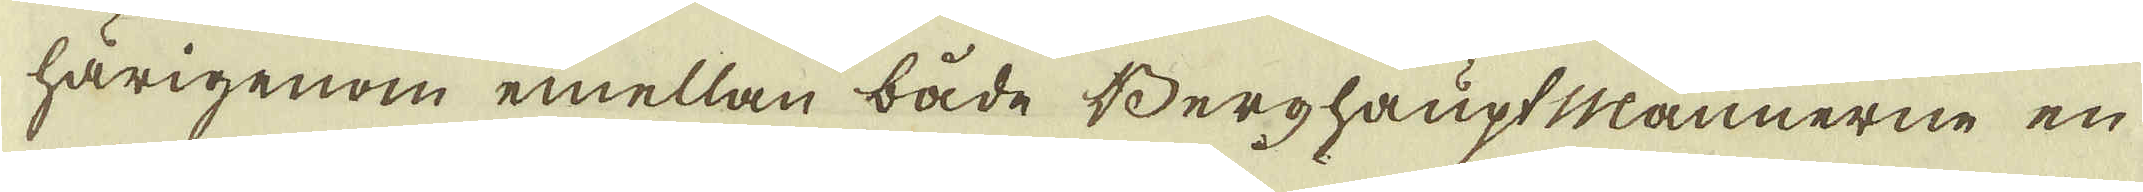härigenom emellan både Berghaupt Männerne en
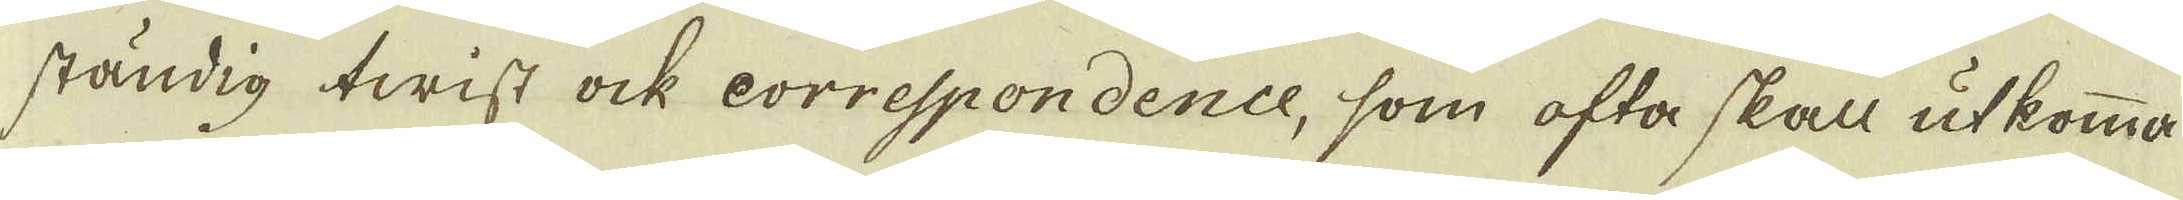ständig twist ock correspondence, som ofta skall utkomma
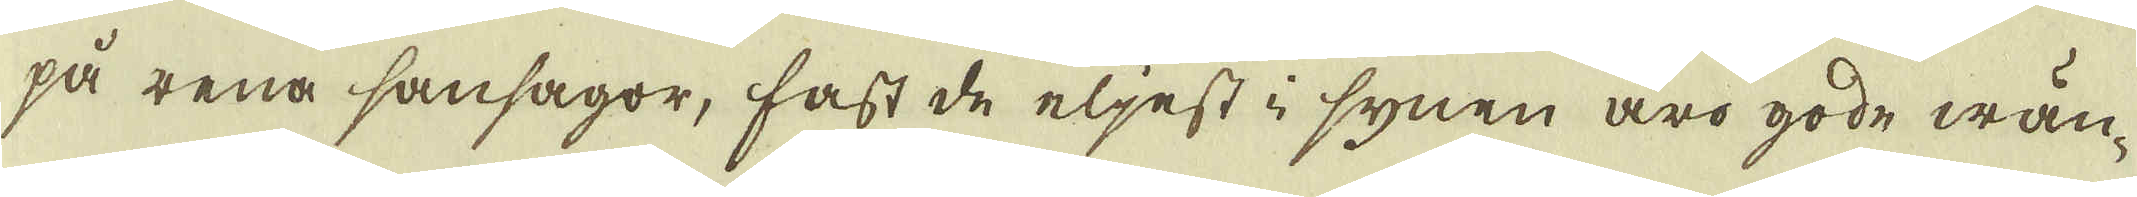på rena sansagor, fast de eljest i synen äro gode wän-
